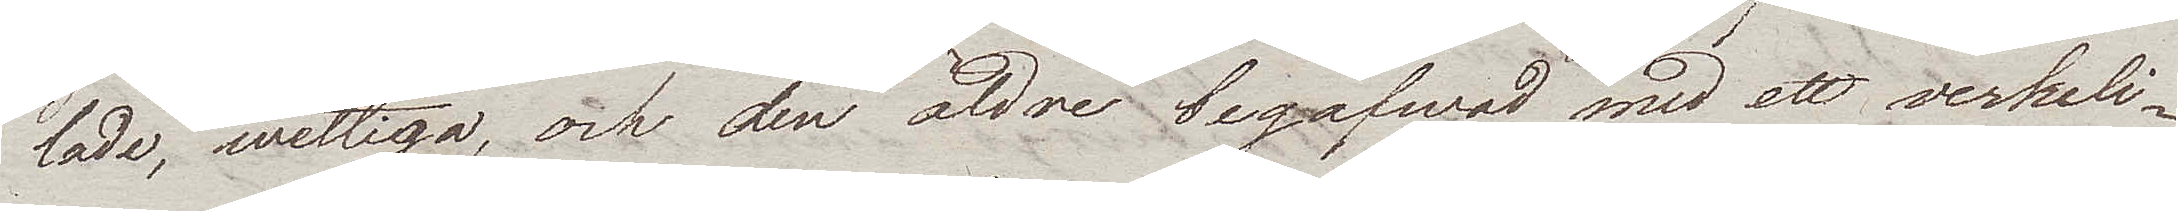lade, wettiga, och den äldre begåfwad med ett verkeli¬
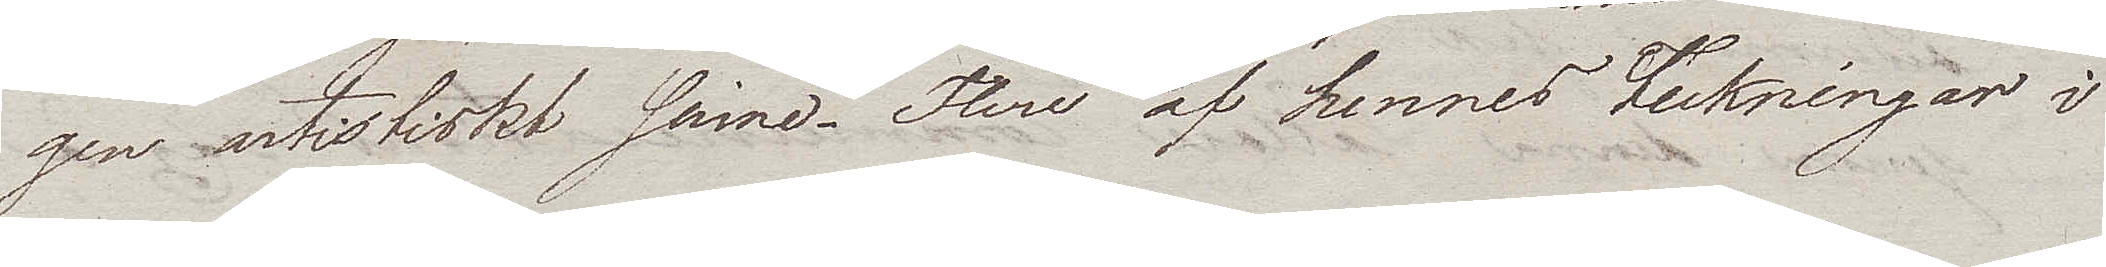gen artistiskt sinne. Flere af hennes teckningar i
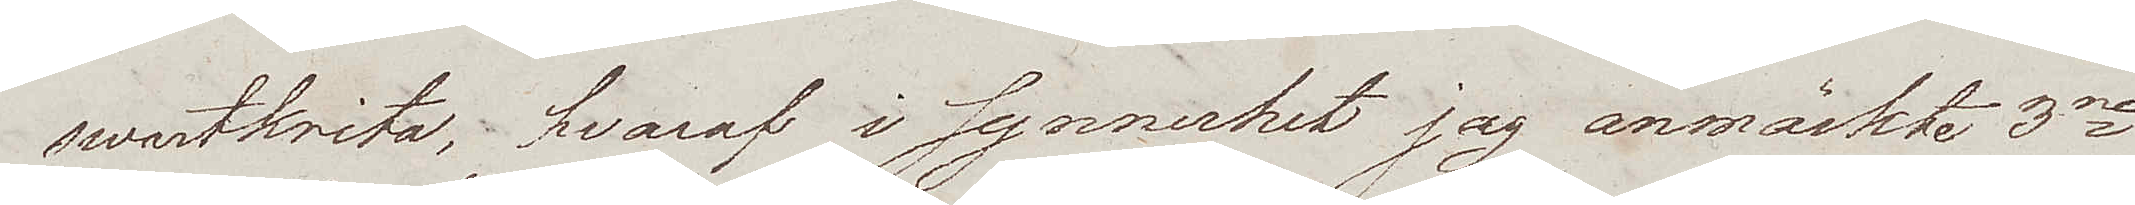swartkrita, hvaraf i synnerhet jag anmärkte 3ne
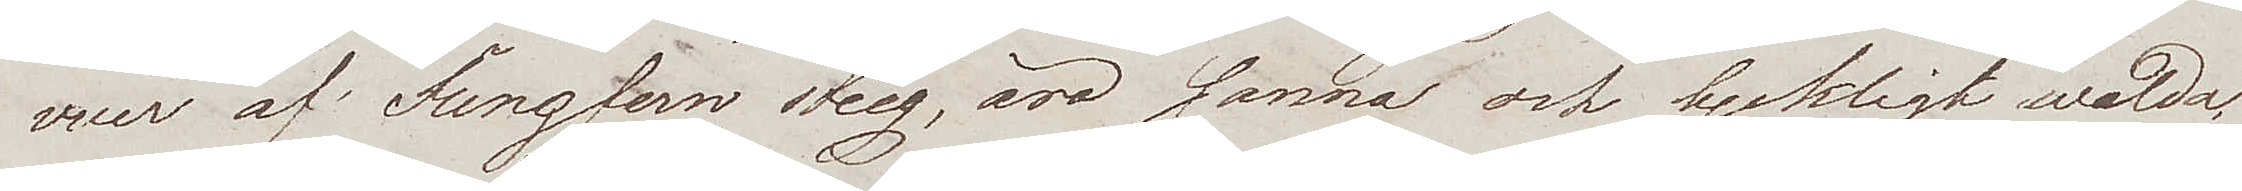vuer af Jungfern Stieg, äro sanna och lyckligt walda,
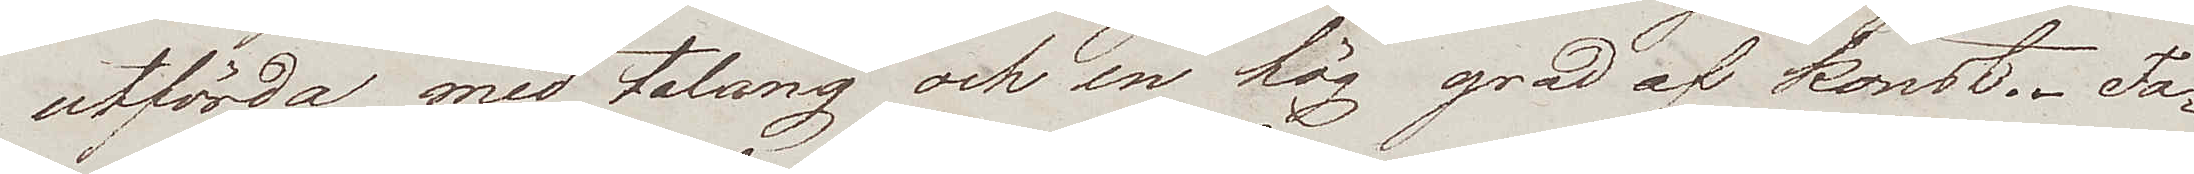utförda med talang och en hög grad af konst. Fa¬
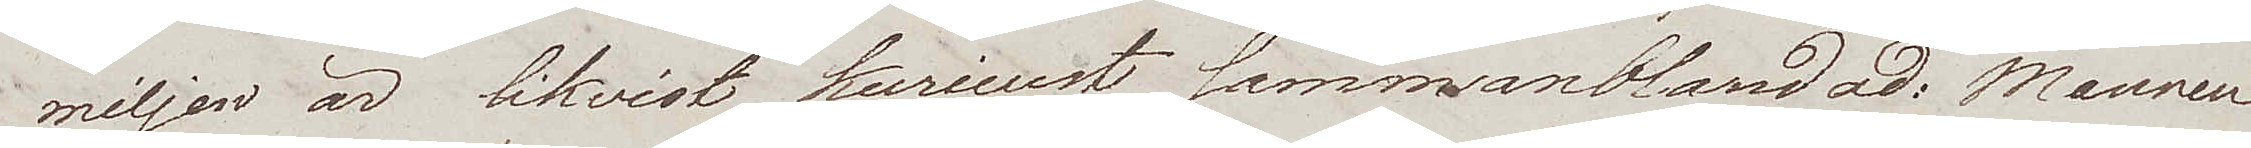miljen är likvist kurieust sammanblandad. Mannen
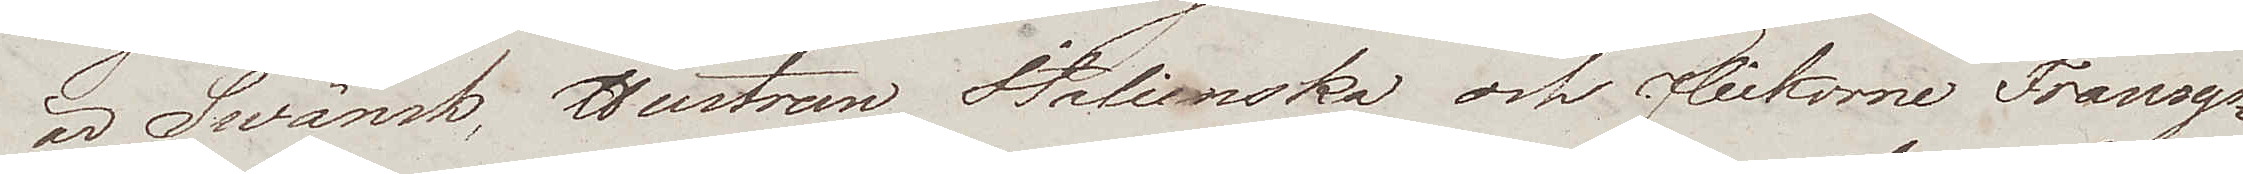är Swänsk, Hustrun Italienska och flickorne Fransys¬
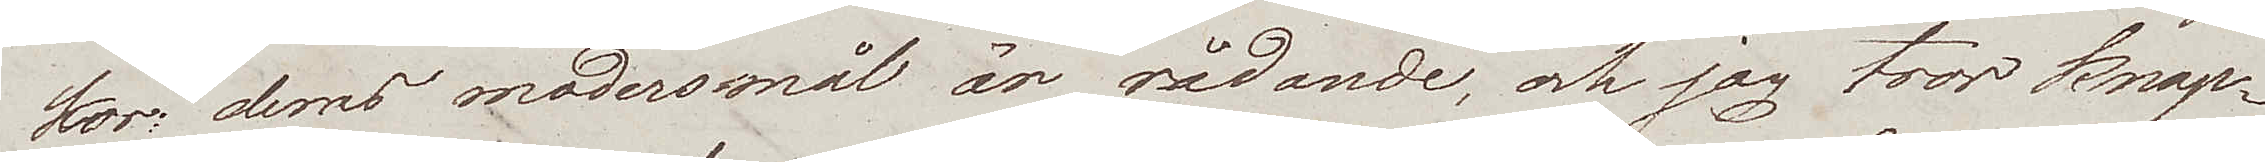kor; deras modersmål är rådande, och jag tror knap¬
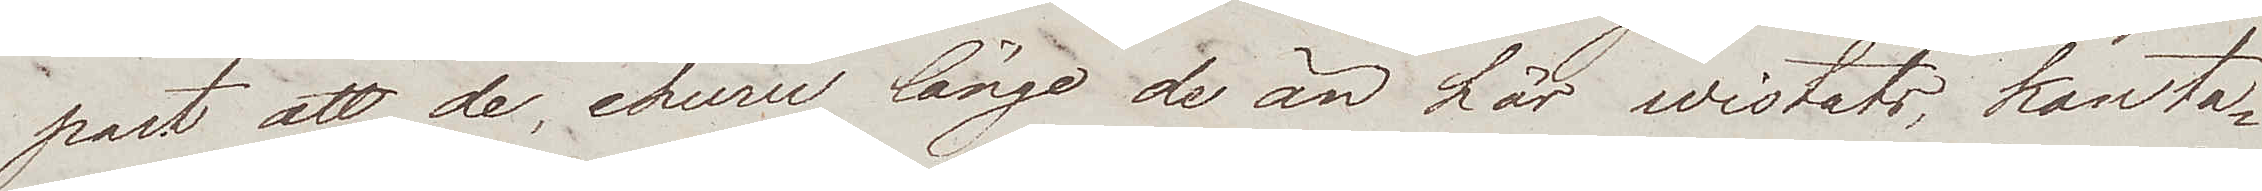nast att de, ehuru länge de än här wistats, kan ta¬
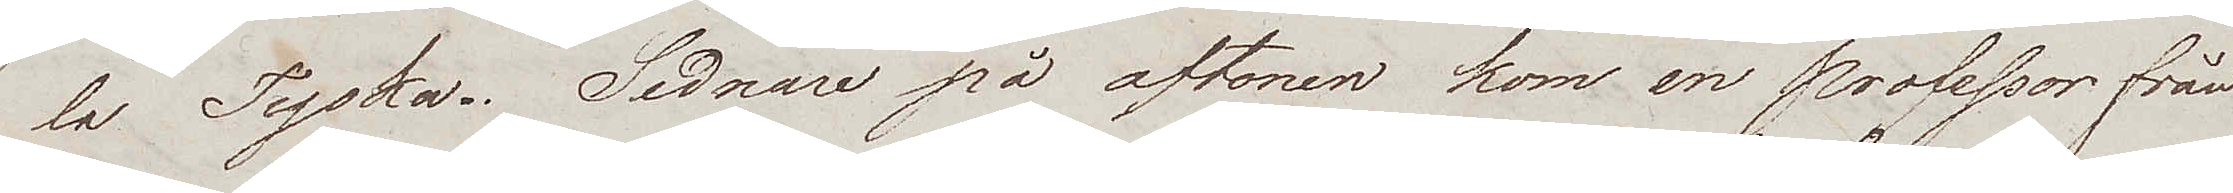la Tyska. Sednare på aftonen kom en professor från
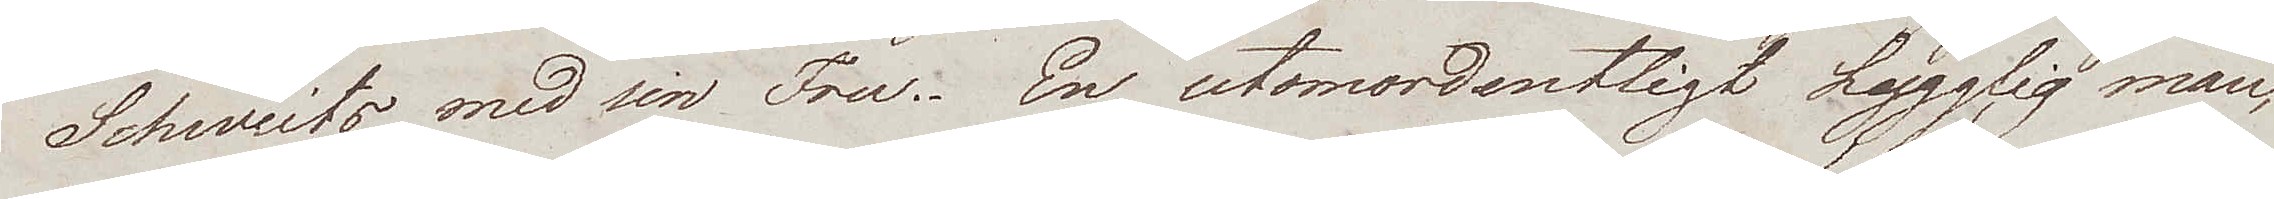Schweits med sin Fru. En utomordentligt hygglig man,
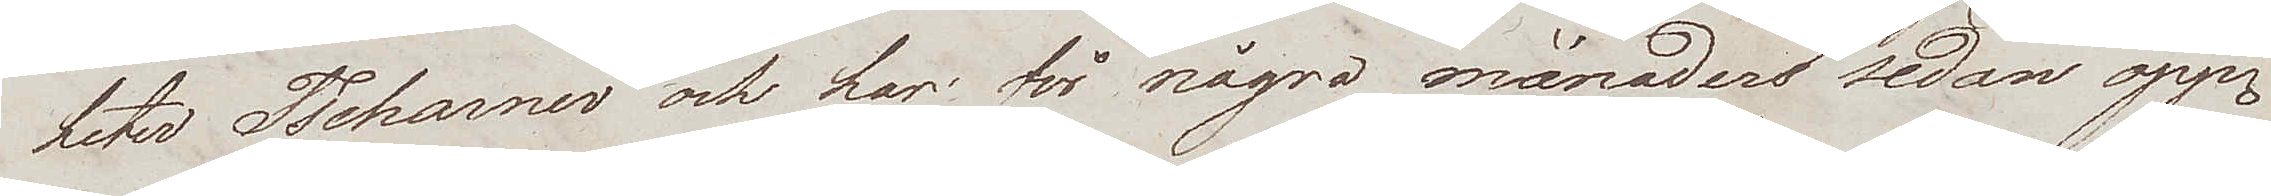heter Tschanner och har för några månaders sedan öpp¬
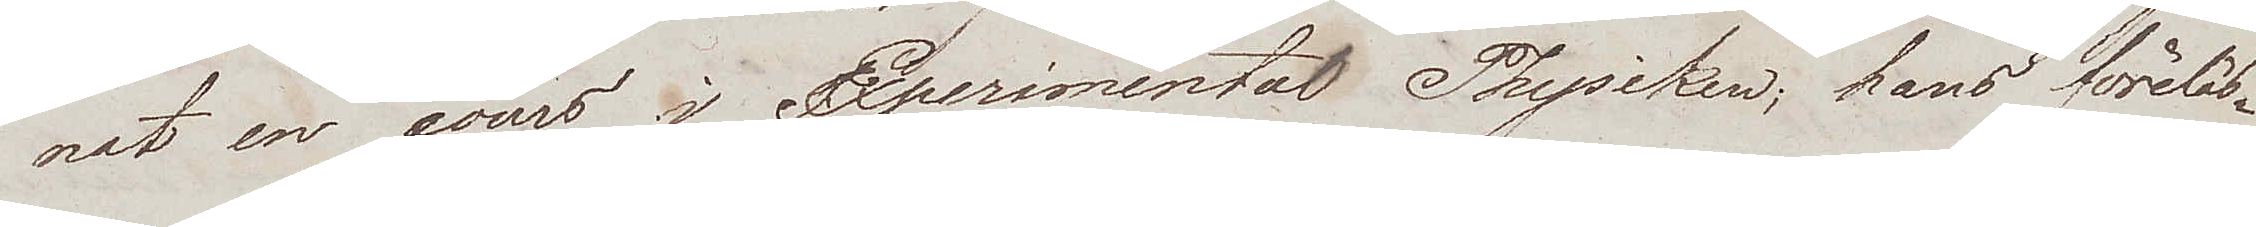nat en cours i Experimental Physiken; hans föreläs¬
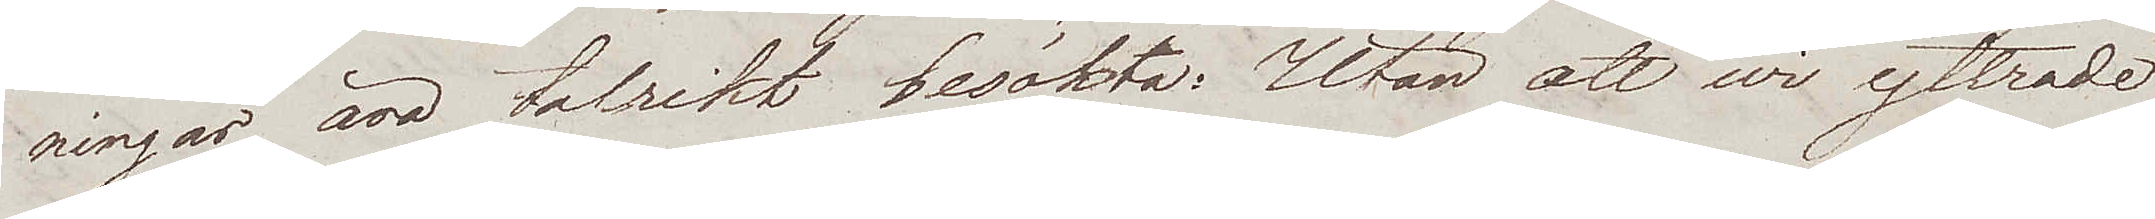ningar äro talrikt besökta. Utan att wi yttrade
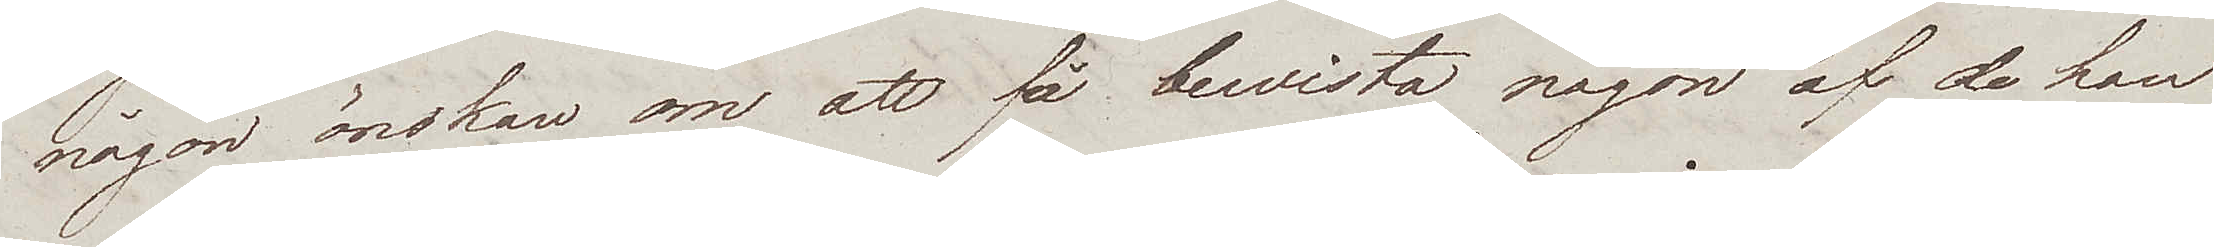någon önskan om att få bewista någon af de han
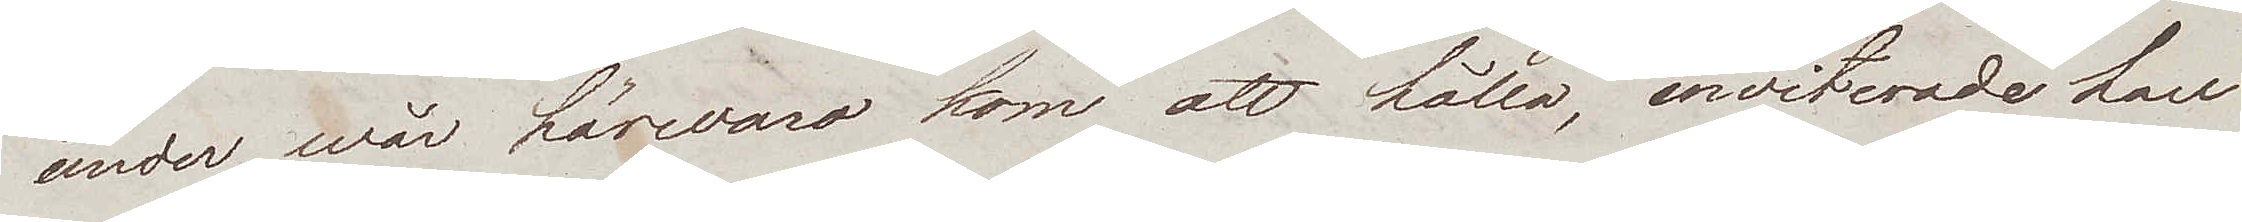under wår härwaro kom att hålla, inviterade han
